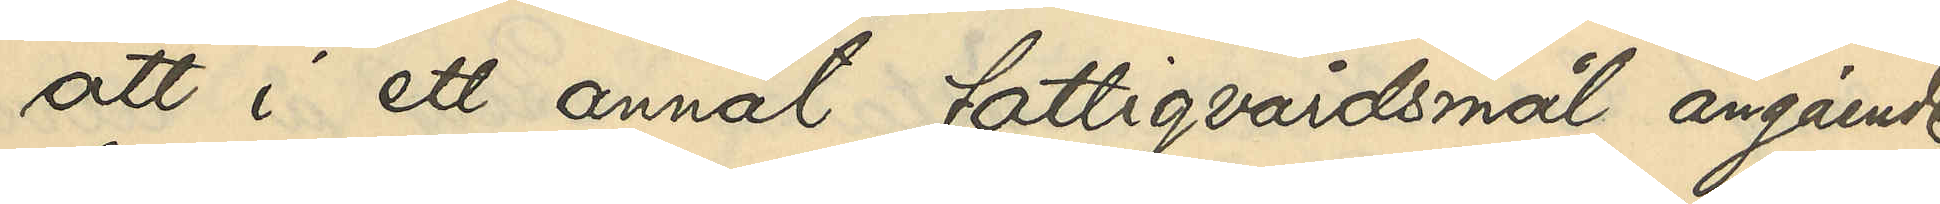att i ett annat fattigvårdsmål angående
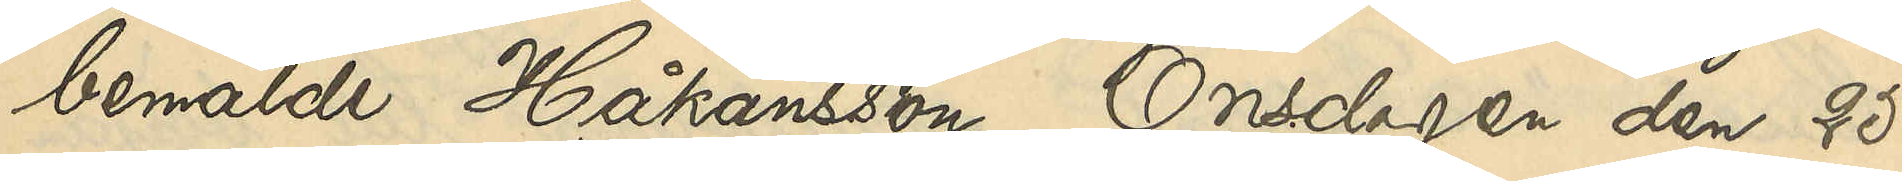bemälde Håkansson Onsdagen den 25
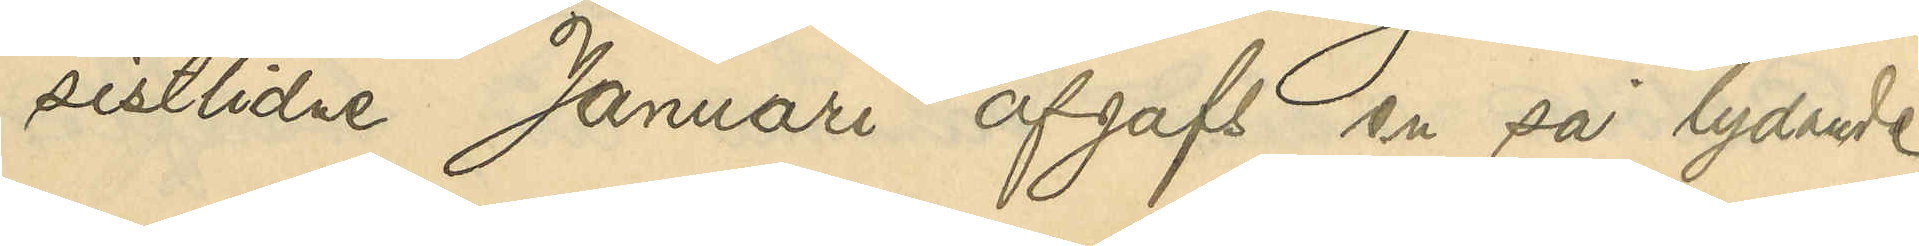sistlidne Januari afgafs en så lydande
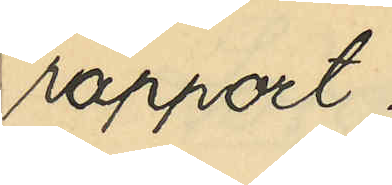rapport:
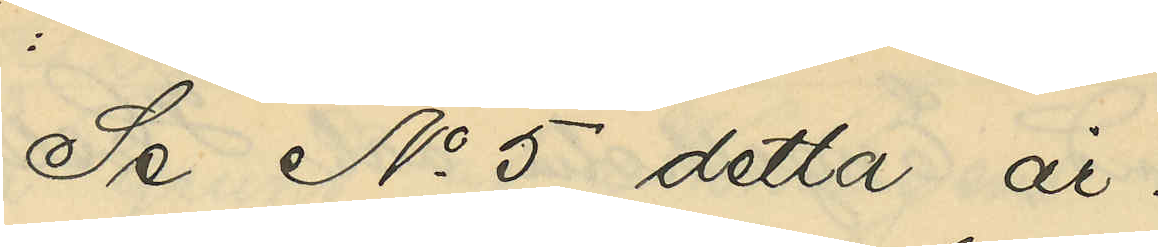Se No 5 detta år.
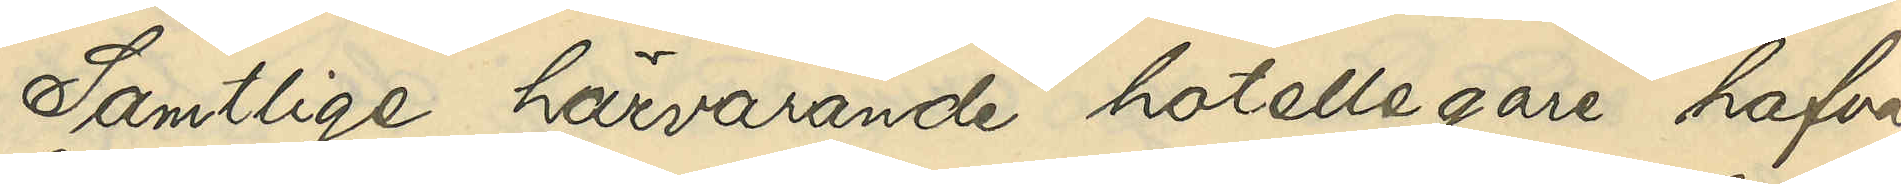Samtlige härvarande hotellegare hafva
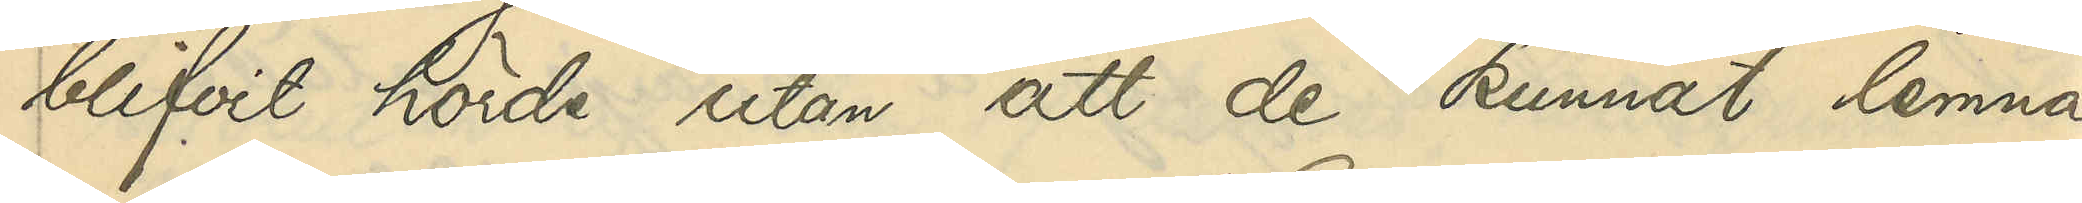blifvit hörde utan att de kunnat lemna
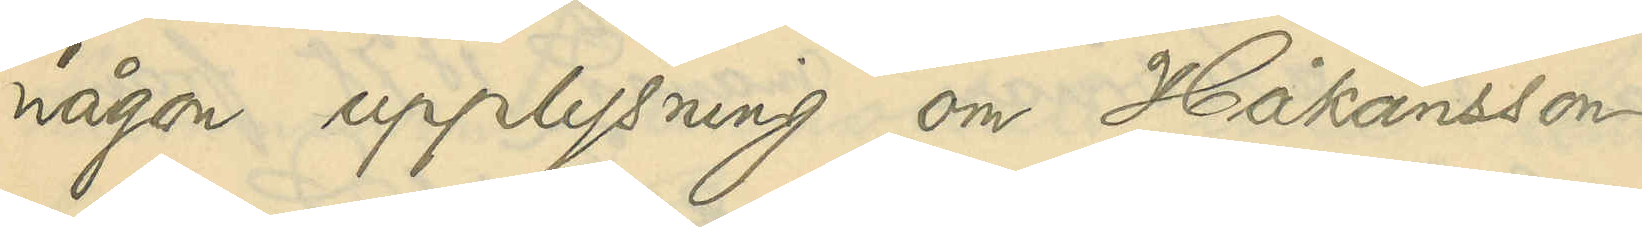någon upplysning om Håkansson.
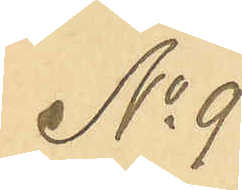No 9
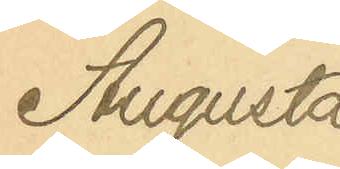Augusta
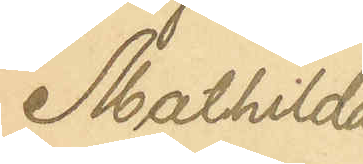Mathilda
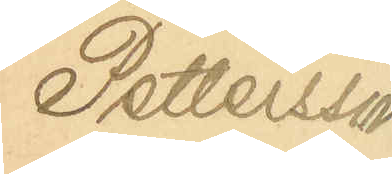Pettersson
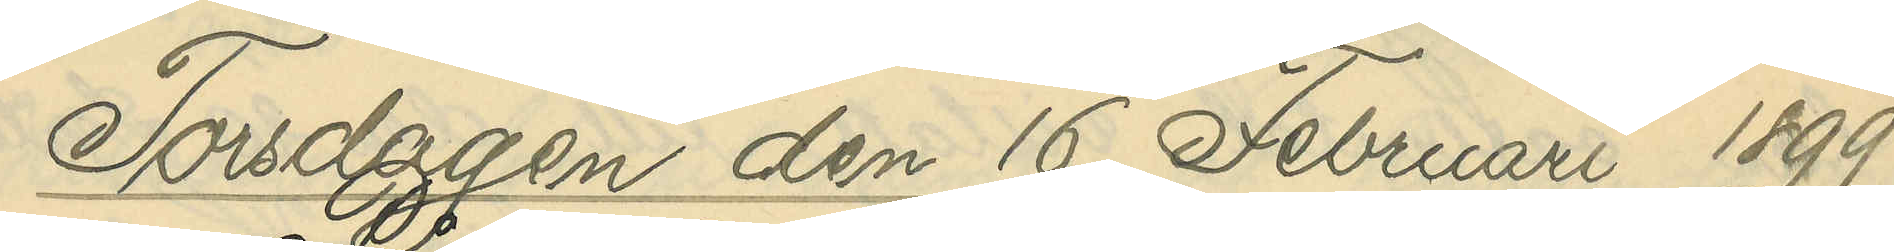Torsdagen den 16 Februari 1899
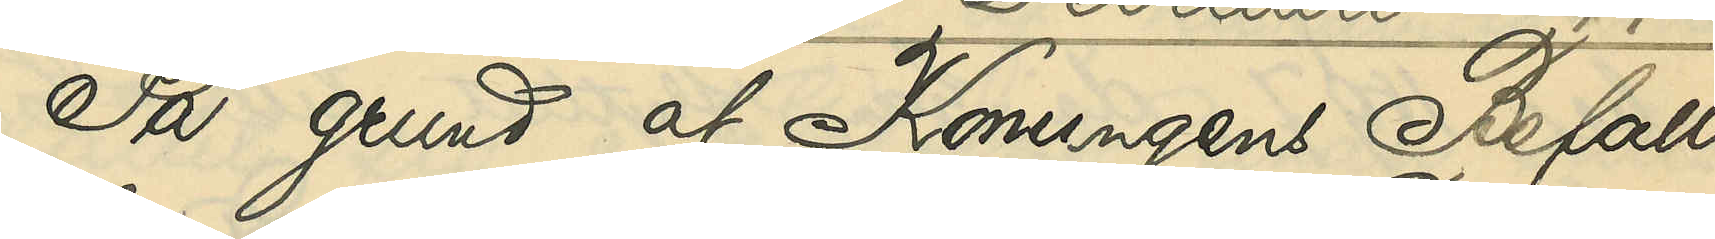På grund af Konungens Befall¬
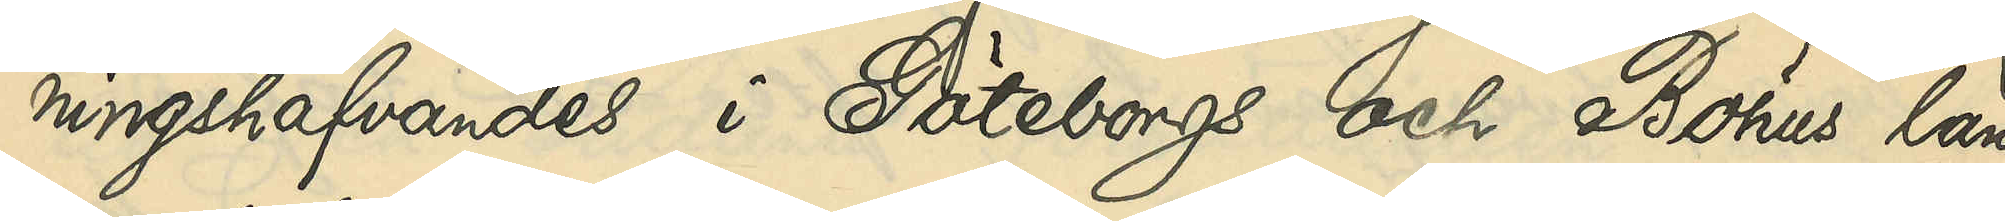ningshafvandes i Göteborgs och Bohus län
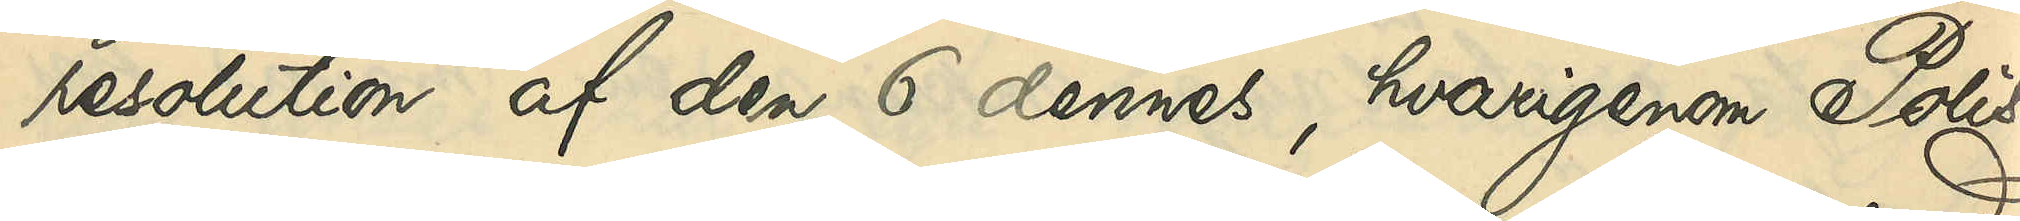resolution af den 6 dennes, hvarigenom Polis¬
